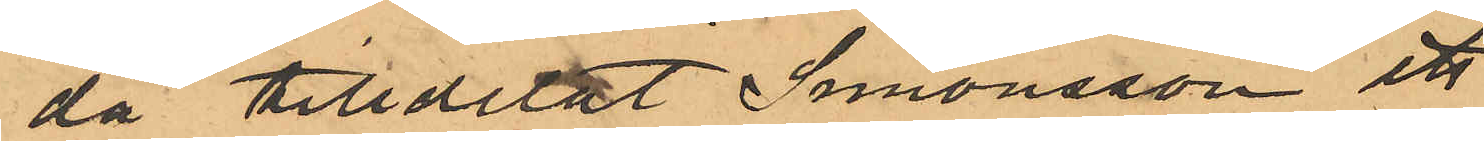då tilldelat Simonsson ett
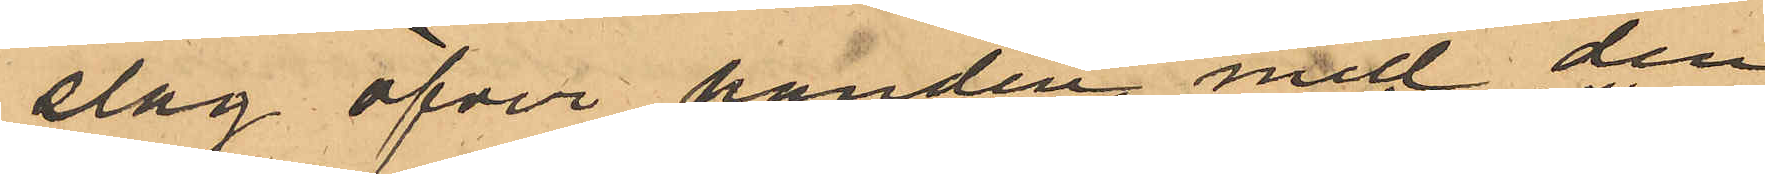slag öfver handen med den
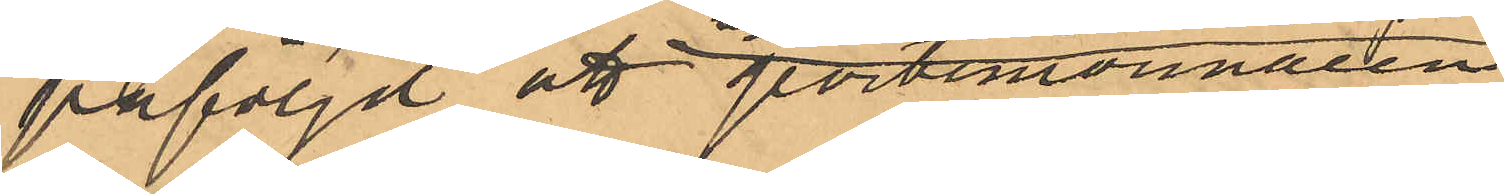påföljd att portmonnaien
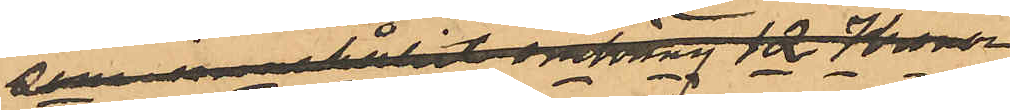som innehållit omkring 12 Kronor
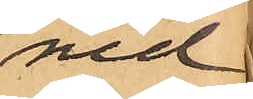ned¬
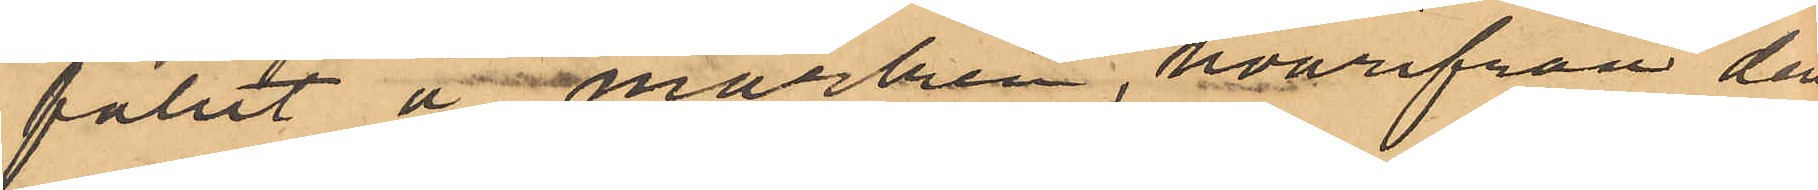fallit å marken, hvarifrån den
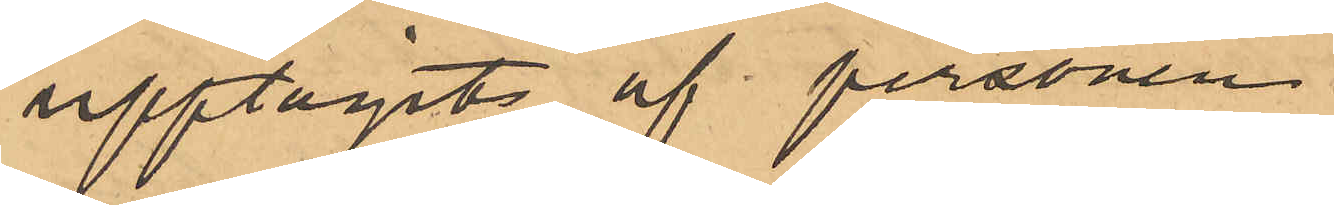upptagits af personen,
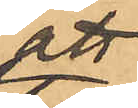att
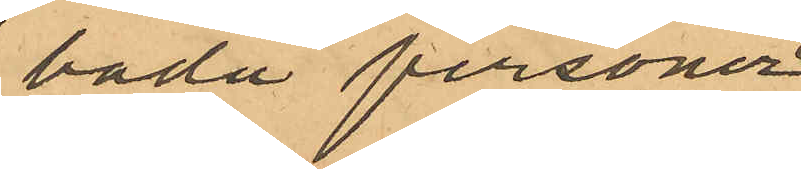båda personer
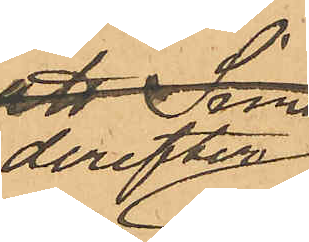derefter
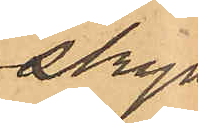skyn¬
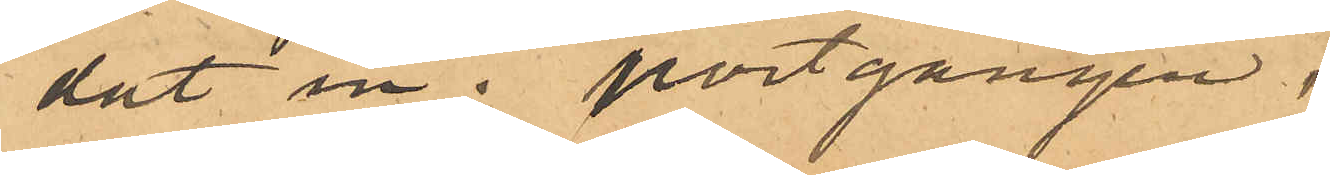dat in i portgången,
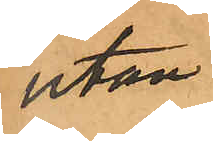utan
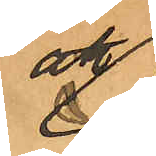att
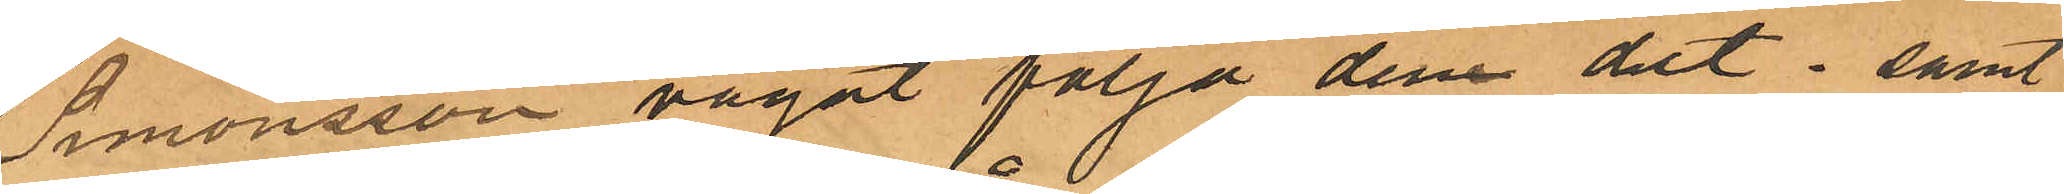Simonsson vågat följa dem dit; samt
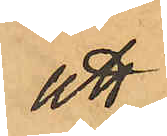att
